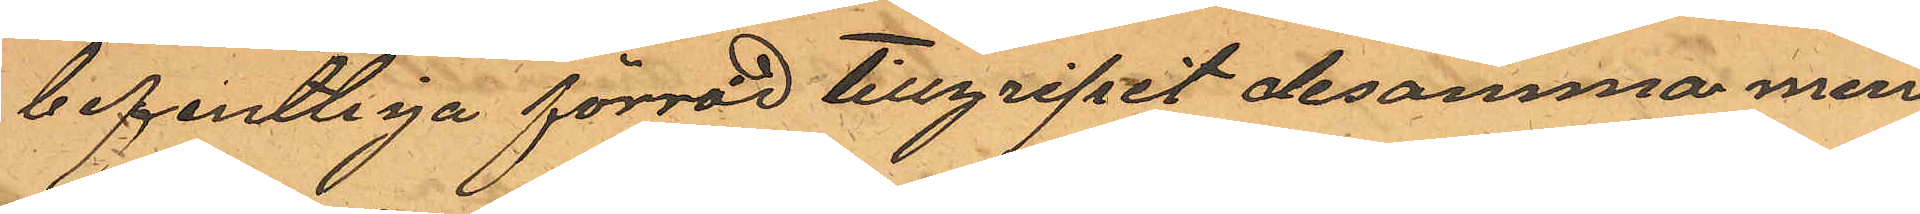befintliga förråd tillgripit desamma men
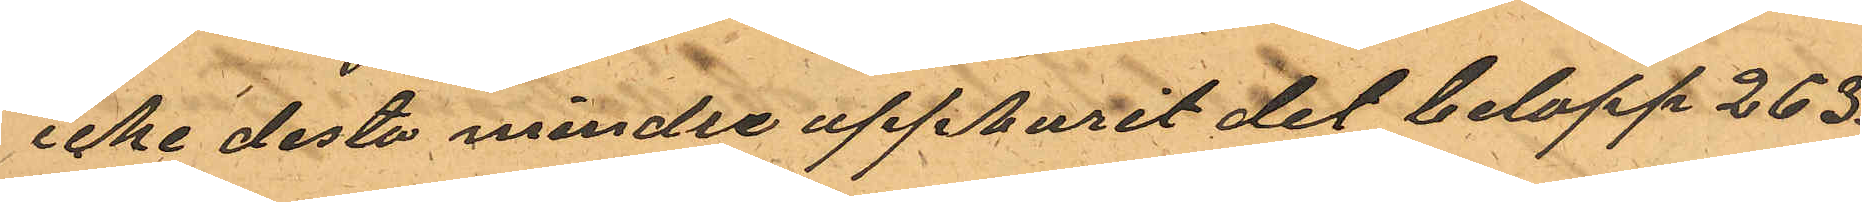icke desto mindre uppburit det belopp 263.
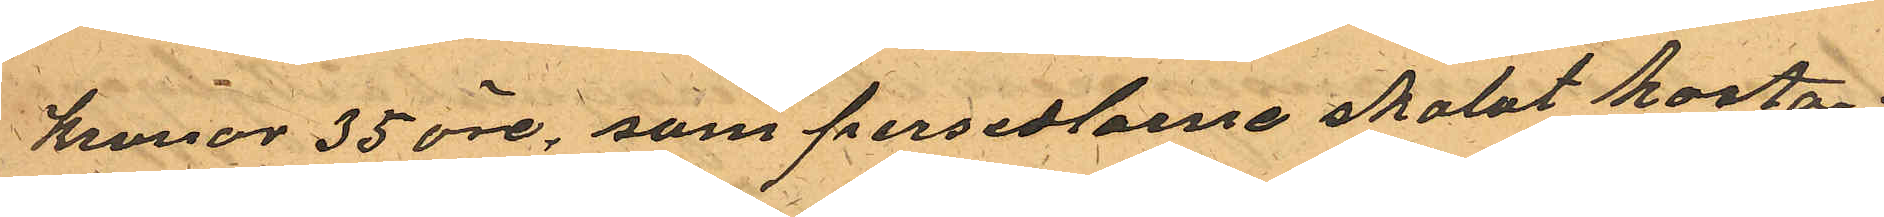Kronor 35 öre, som persedlarne skolat kosta
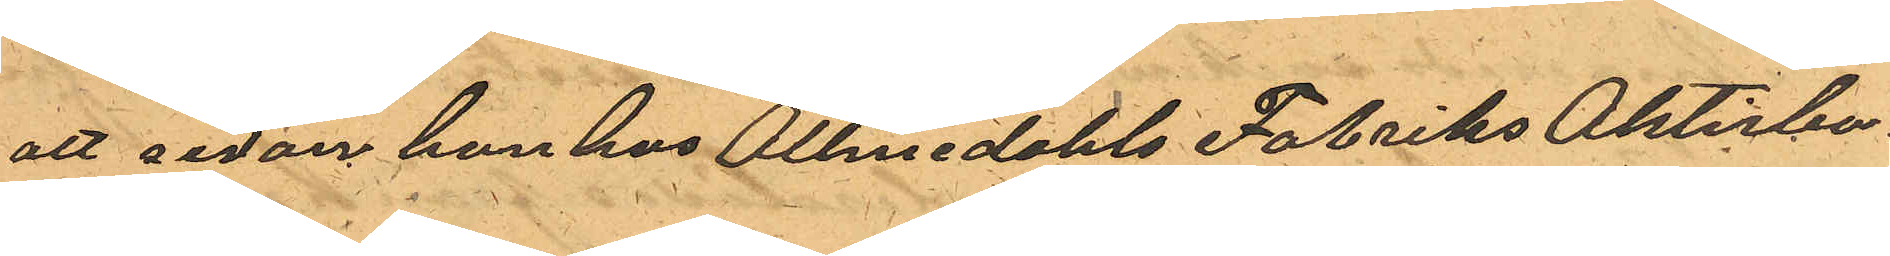att sedan han hos Allmedahls Fabriks Aktiebo¬
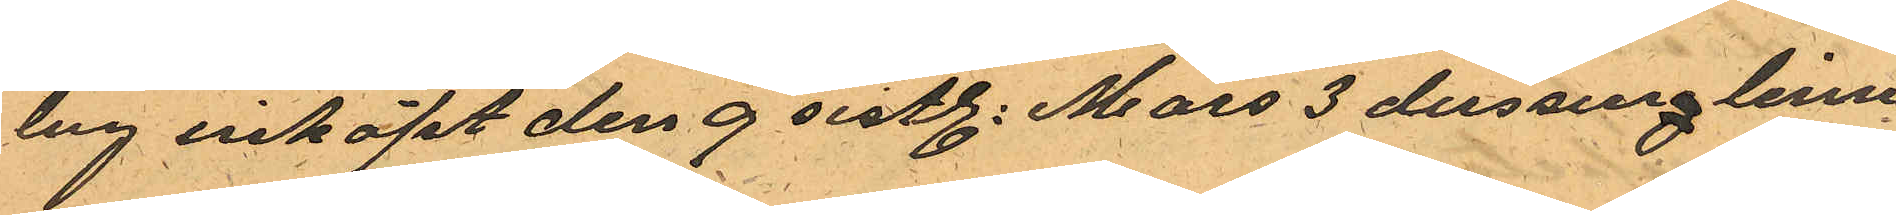lag inköpt den 9 sistl. Mars 3 dussing linne¬
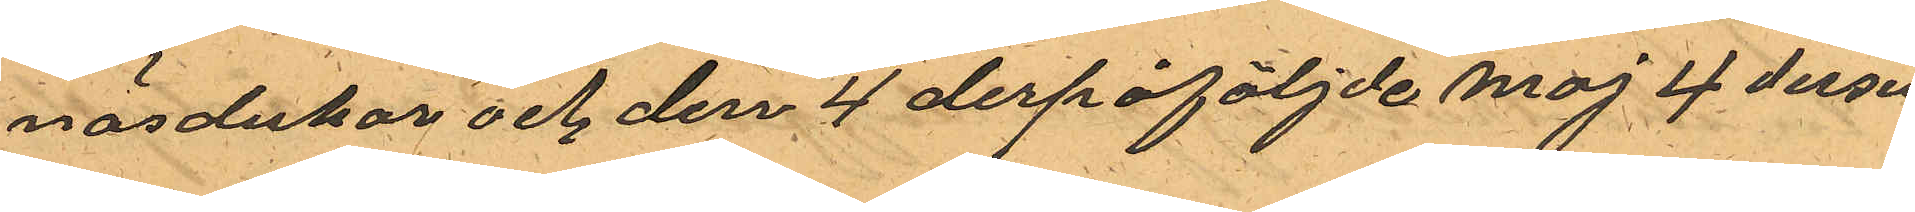näsdukar och den 4 derpåföljde maj 4 dusin
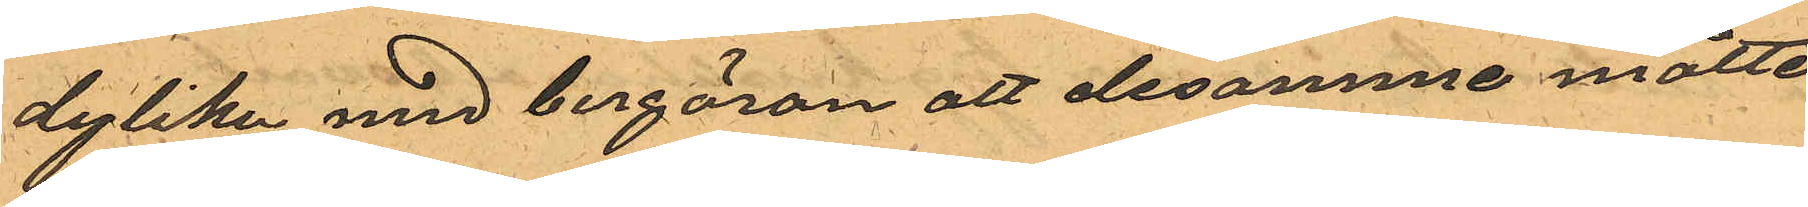dylika med bergäran att desamme måtte
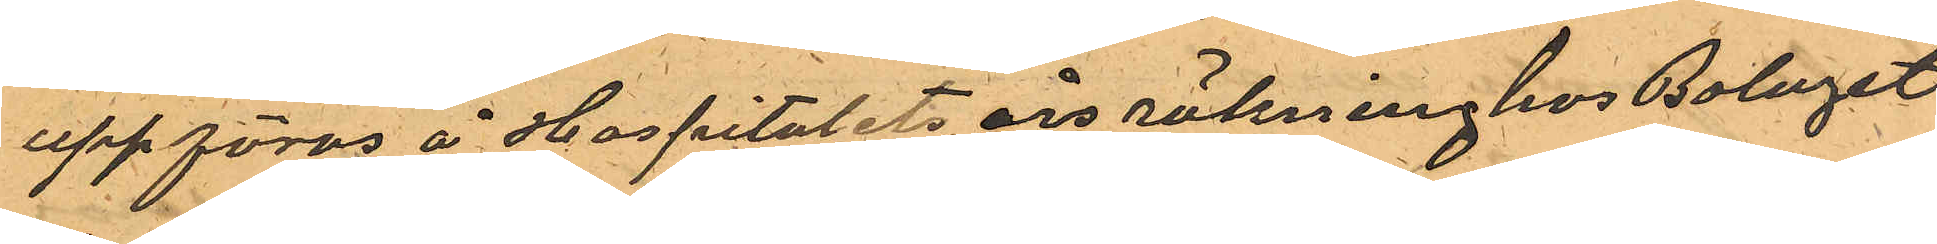uppföras å Hospitalets års räkning hos Bolaget
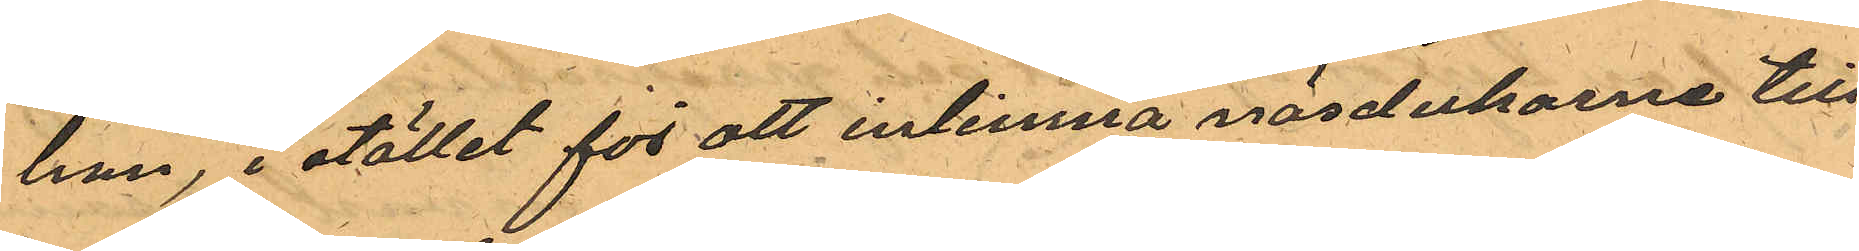han, i stället för att inlemna näsdukarna till
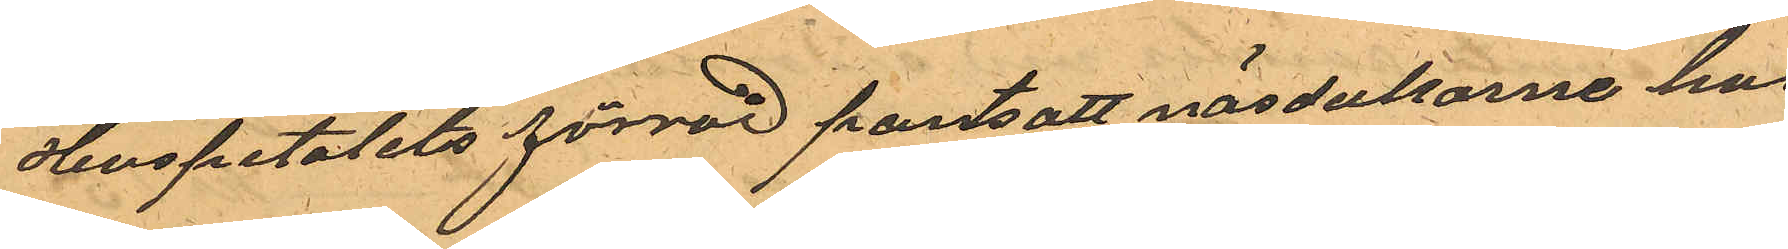Hospitalets förråd pantsatt näsdukarne hos
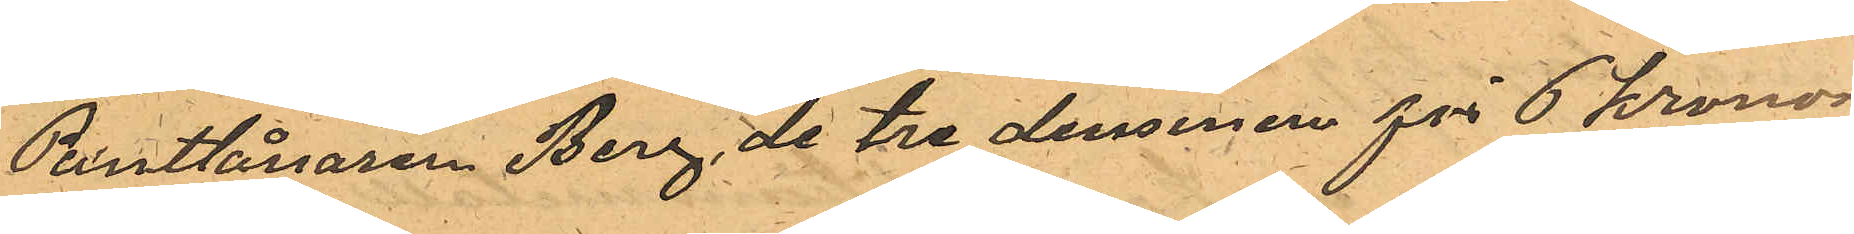Pantlånaren Berg, de tre dussinen för 6 kronor
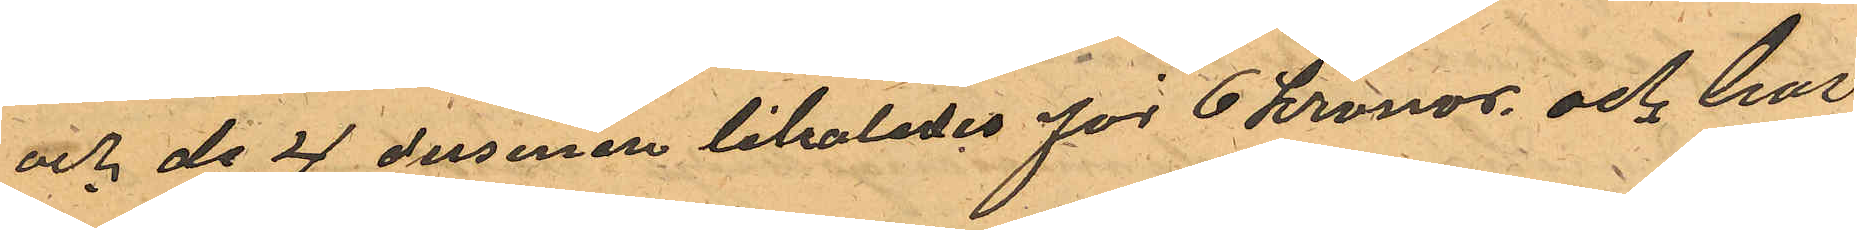och de 4 dusinen likaledes för 6 kronor och har
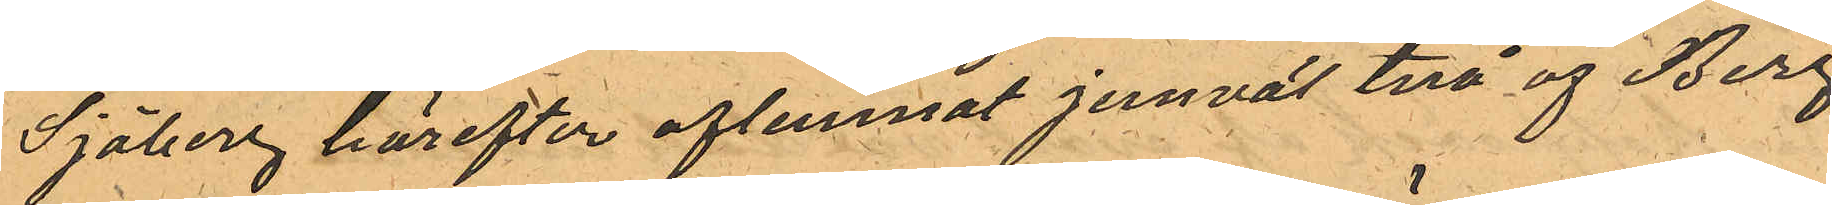Sjöberg härefter aflemnat jemväl två af Berg
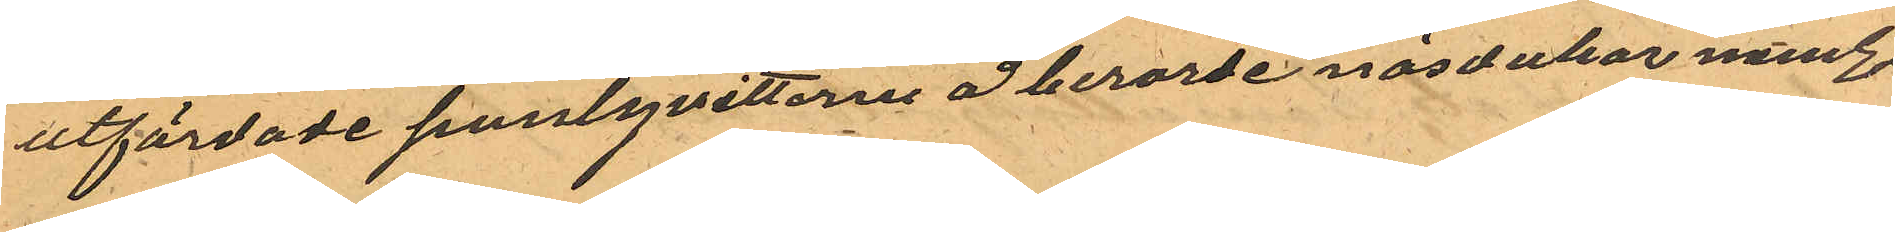utfärdade pantqvittorne å berörde näsdukar neml.
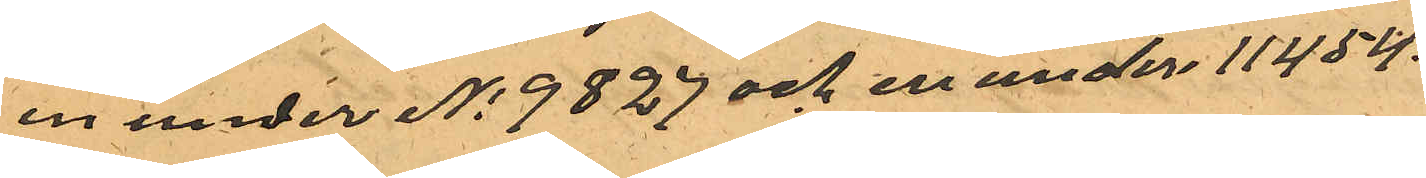en under No 9827 och en under 11454.
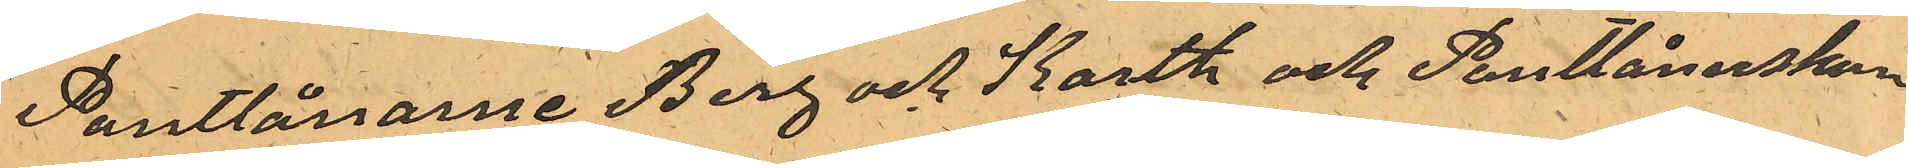Pantlånarne Berg och Karth och Pantlånerskan
